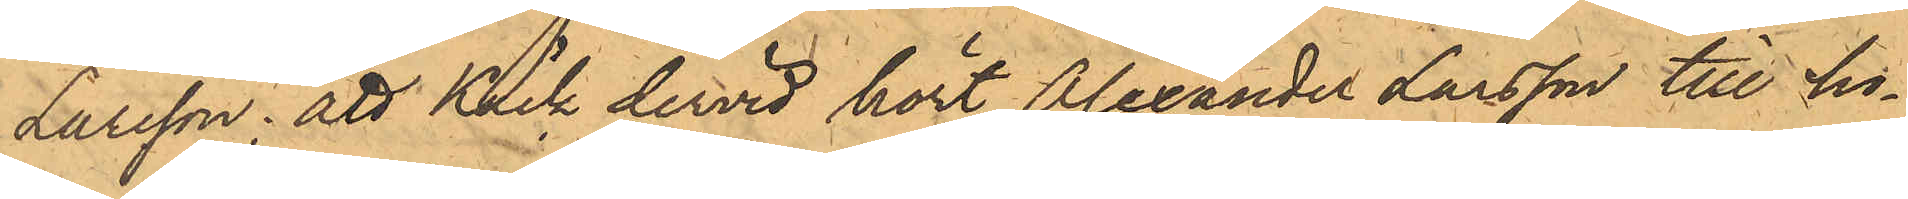Larsson; att Käck dervid hört Alexander Larsson till ho¬
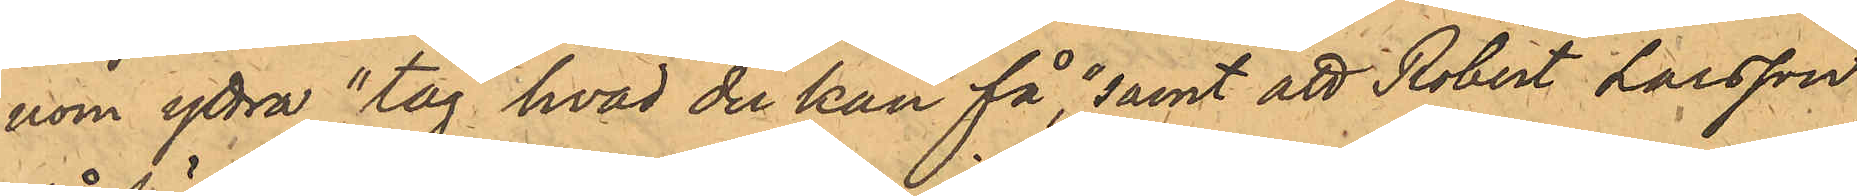nom yttra "tag hvad du kan få", samt att Robert Larsson
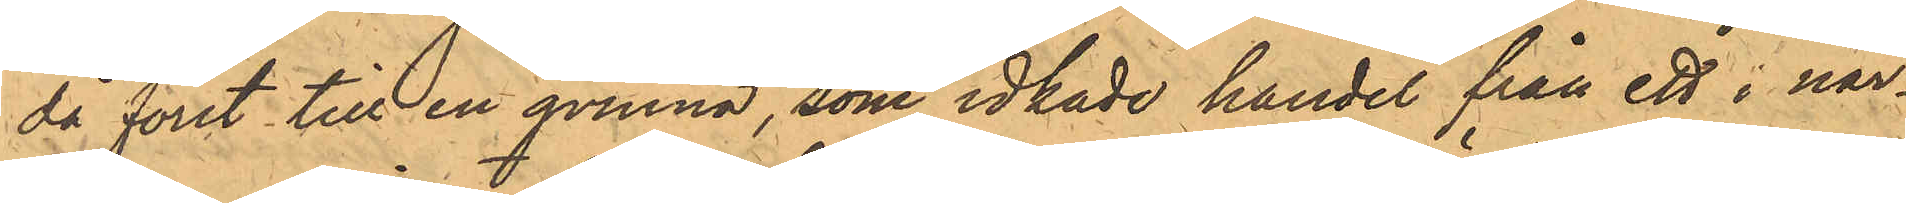då först till en qvinna, som idkade handel från ett i när¬
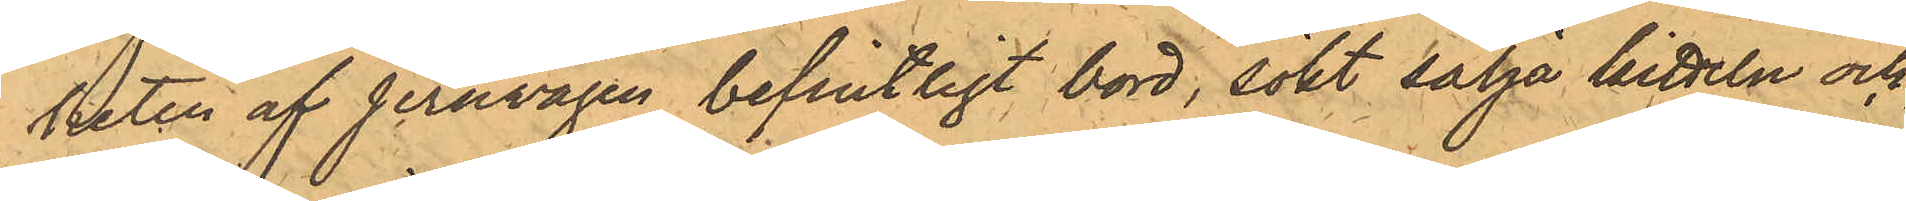heten af jernvågen befintligt bord, sökt sälja kitteln och
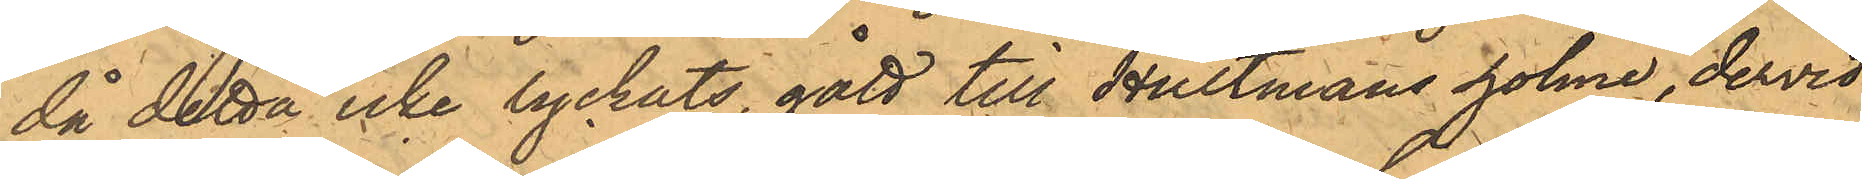då detta icke lyckats, gått till Hultmans holme, dervid
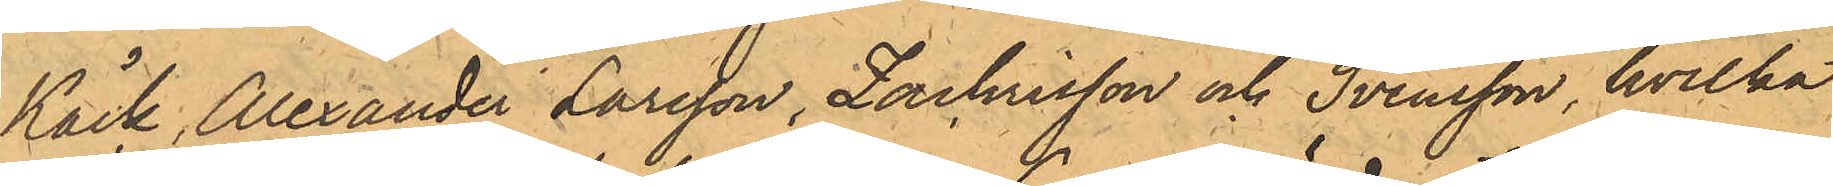Käck, Alexander Larsson, Zachrisson och Svensson, hvilka
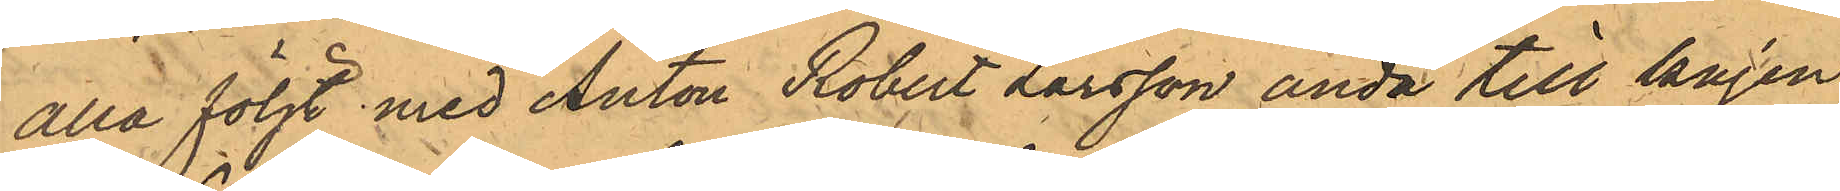alla följt med Anton Robert Larsson ända till kajen
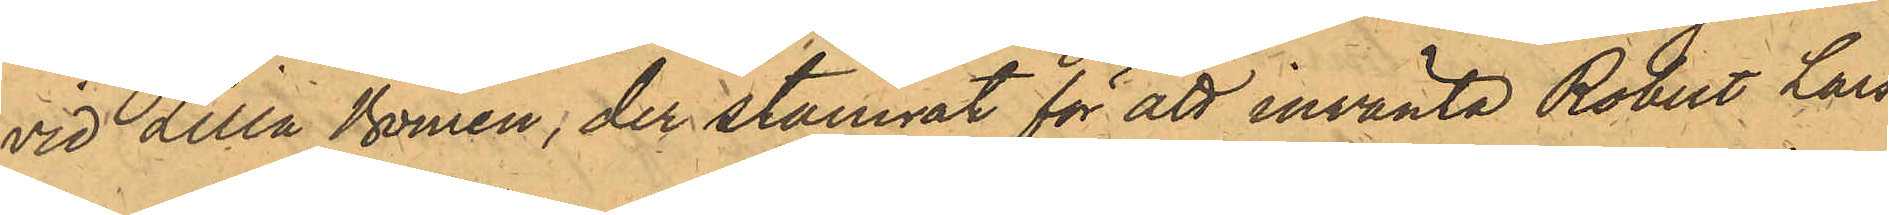vid Lilla Bomen; der stannat för att invänta Robert Lars¬
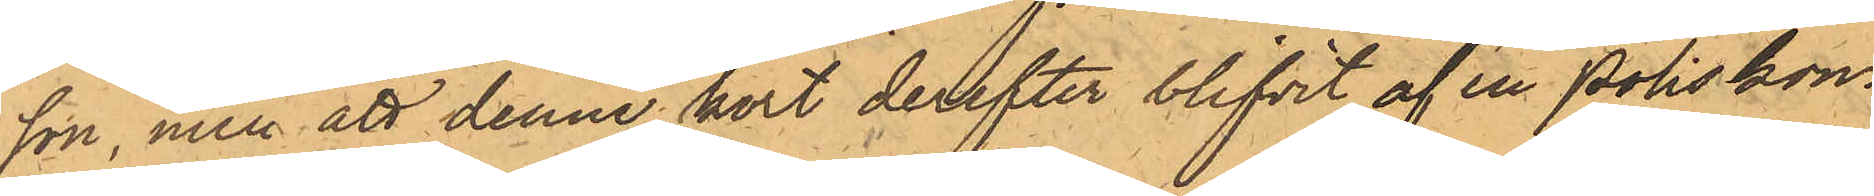son, men att denne kort derefter blifvit af en Poliskon¬
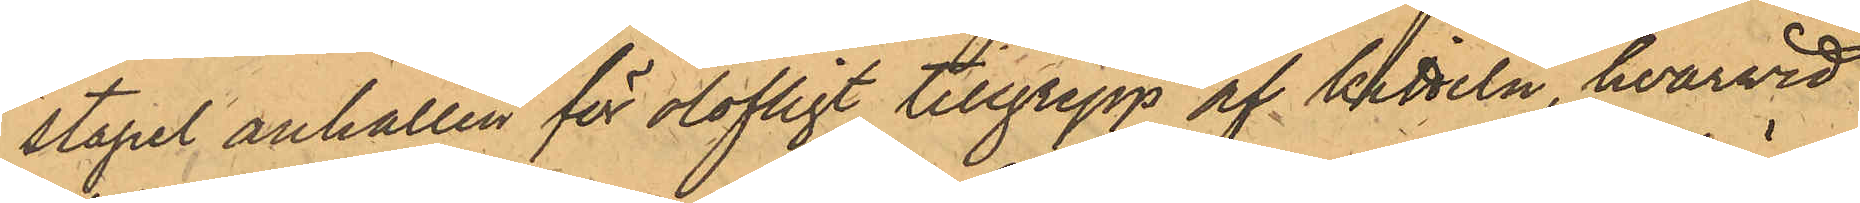stapel anhållen för olofligt tillgrepp af kitteln, hvarvid
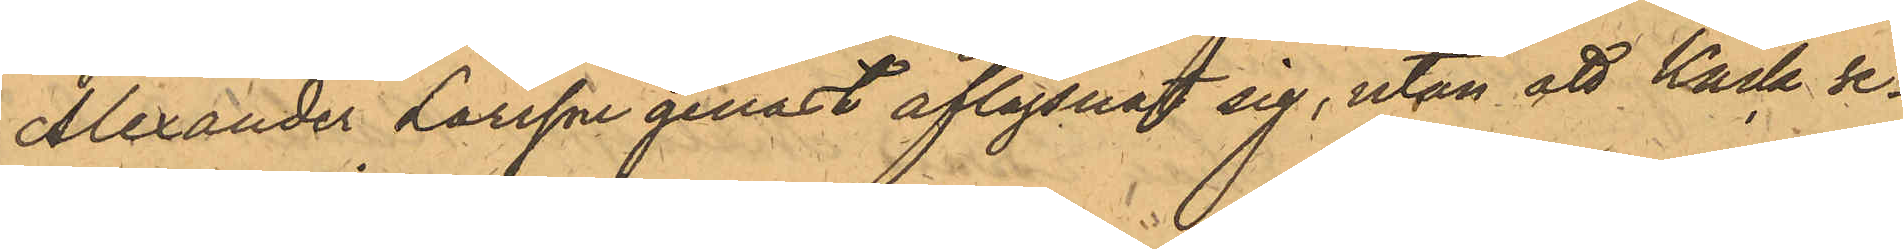Alexander Larsson genast aflägsnat sig, utan att Käck se¬
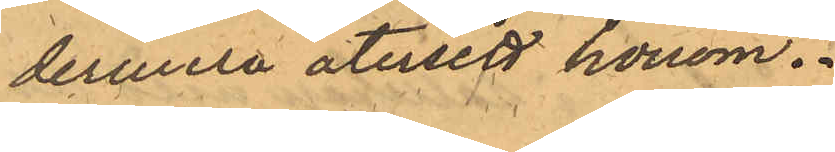dermera återsett honom.
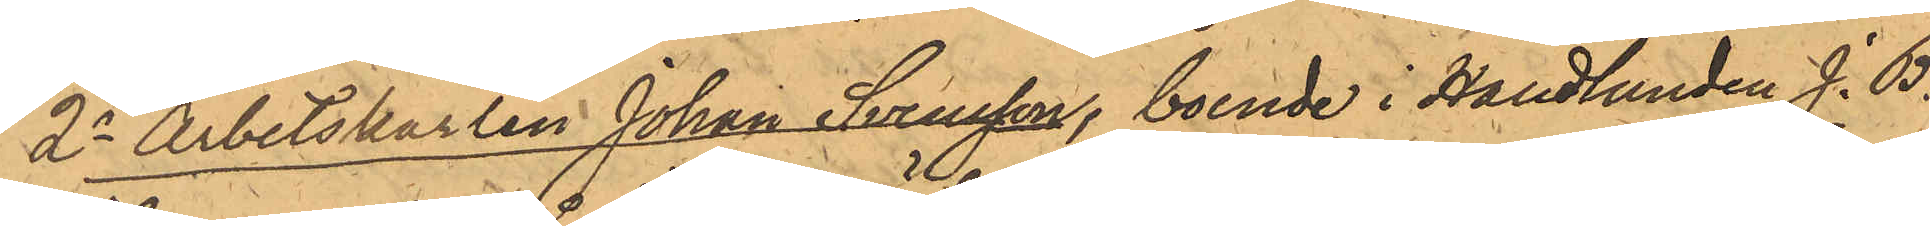2o Arbetskarlen Johan Svensson, boende i Handlanden J. B.
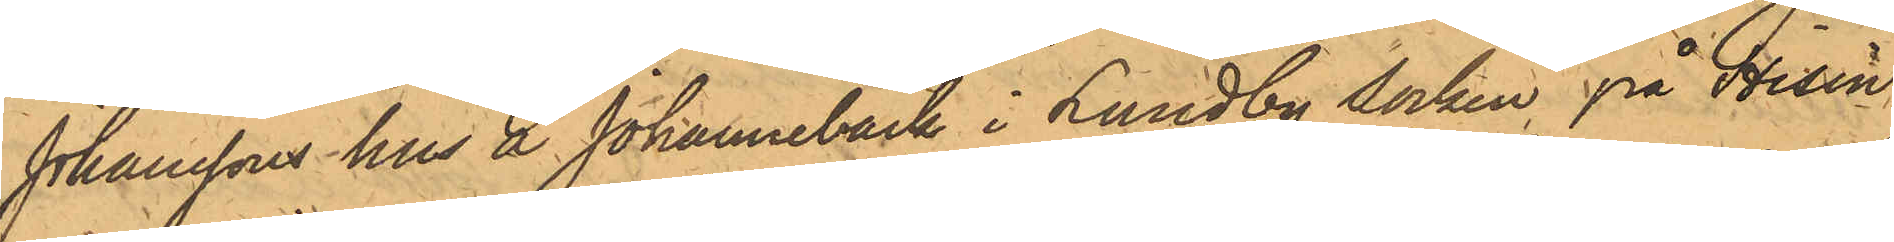Johanssons hus å Johannebäck i Lundby socken på Hisin¬
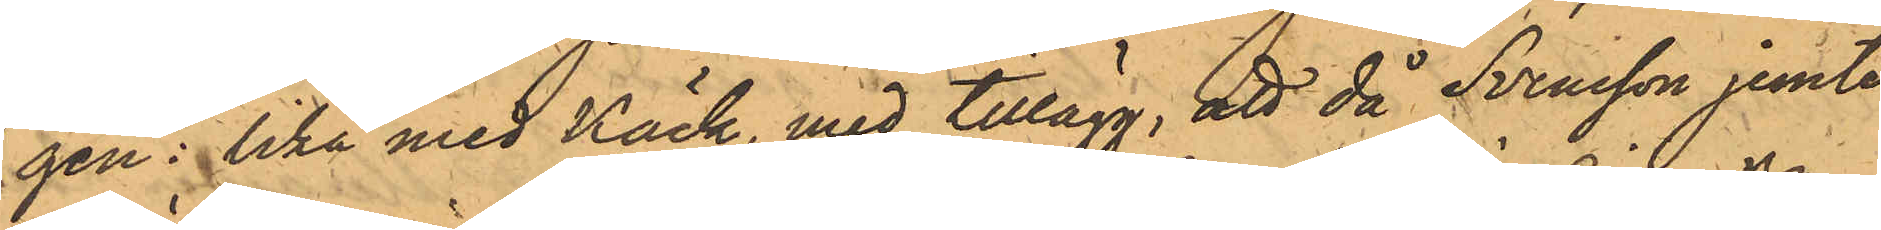gen: lika med Käck, med tillägg, att då Svensson jemte
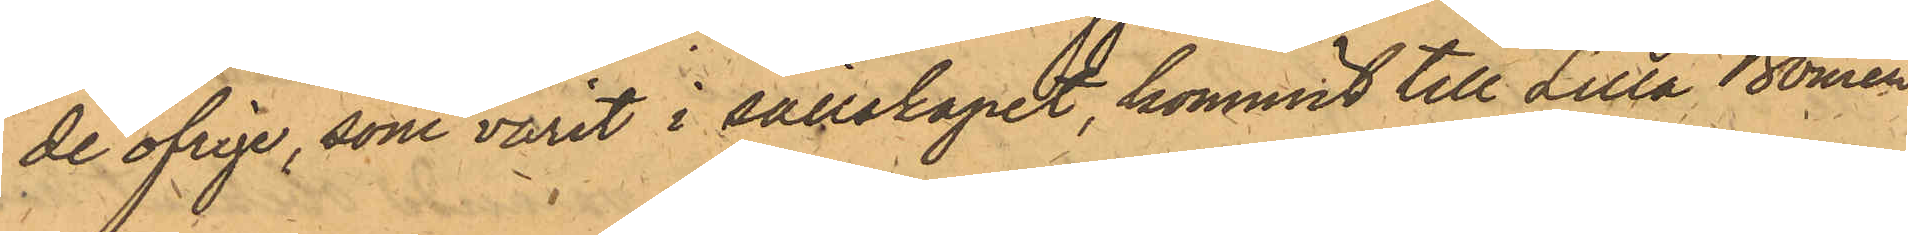de öfrige, som varit i sällskapet, kommit till Lilla Bomen,
